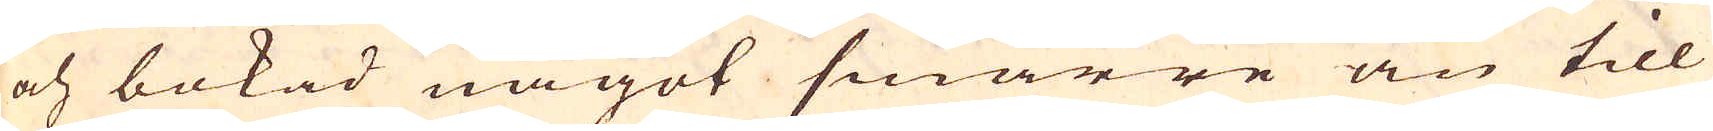och bokad något smärre än till
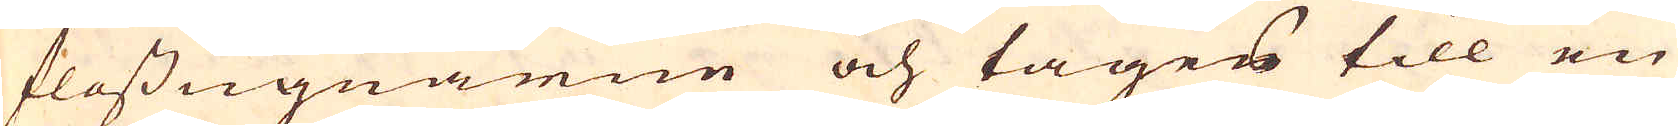flossugnarne och tages till en
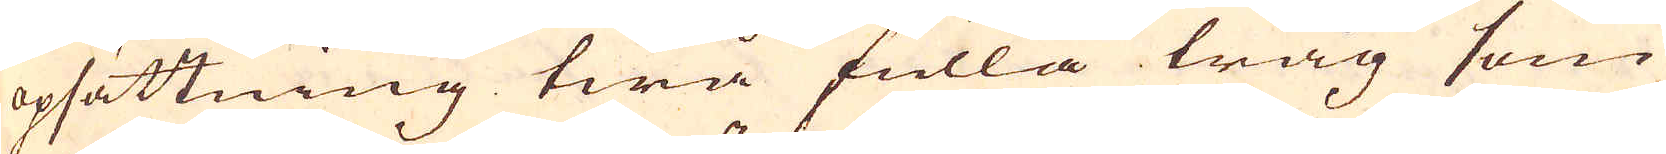opsättning twå fulla tråg som
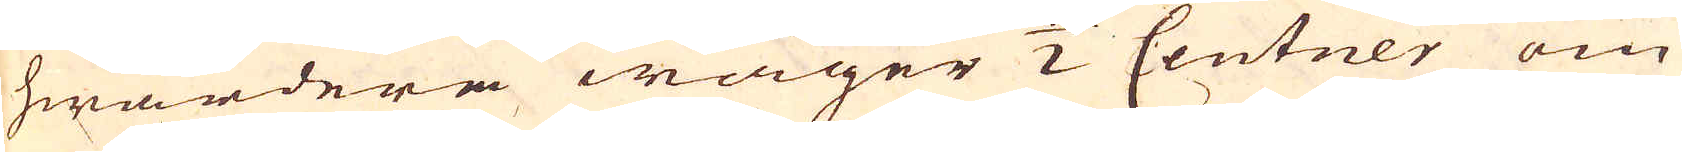hwardera wäger 2 Centner om
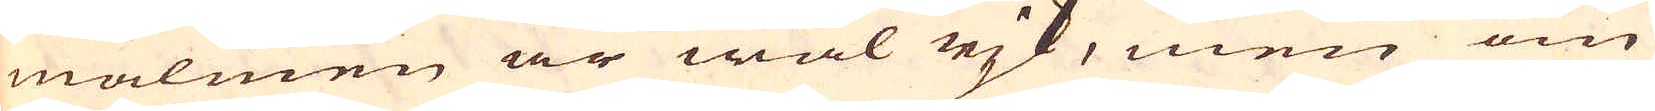malmen är wäl rjk, men om
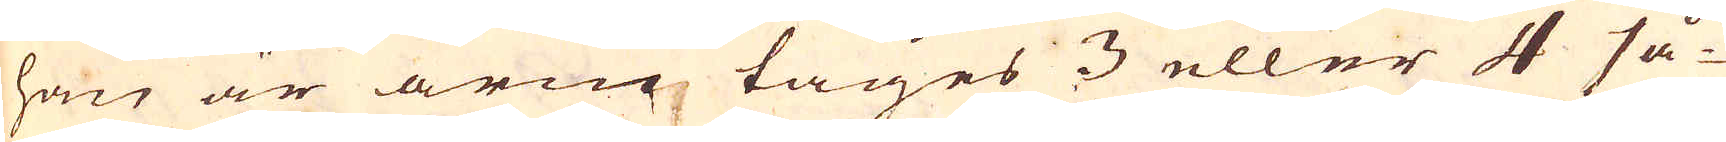han är arm tages 3 eller 4 så-
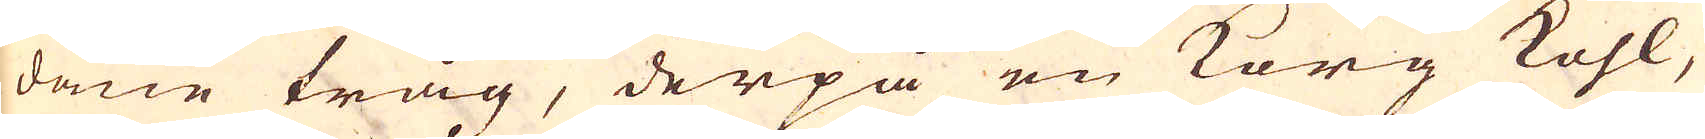dane tråg, derpå en Korg Kohl,
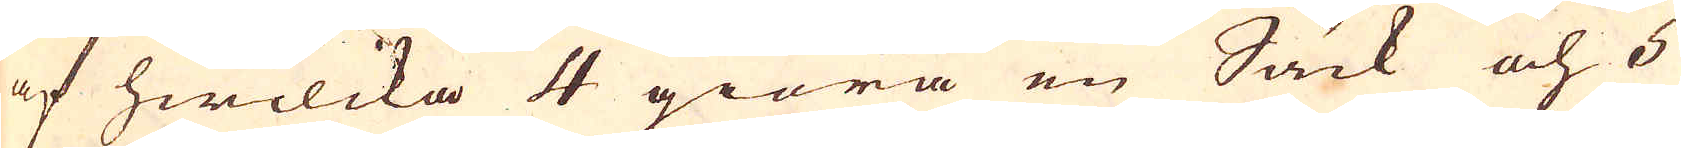af hwilcka 4 giöra en Säck och 5
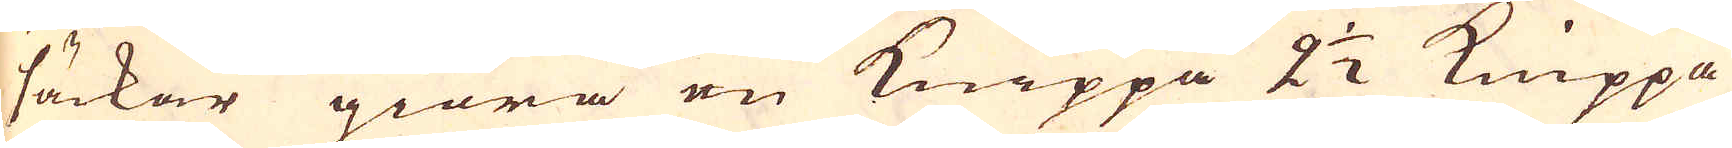säckar giöra en Knippa 2 1/2 Knippa
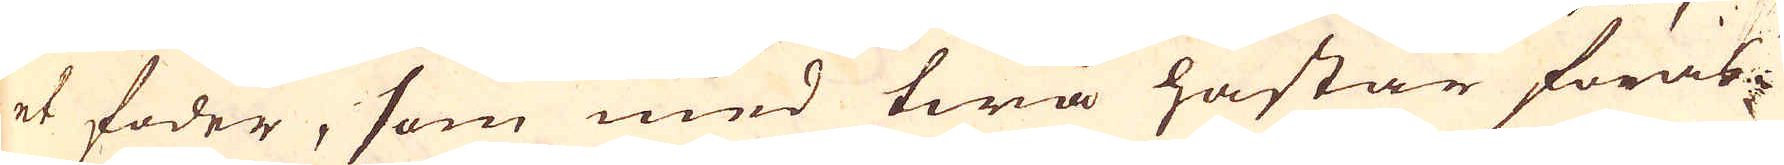et foder, som med twa hästar föras
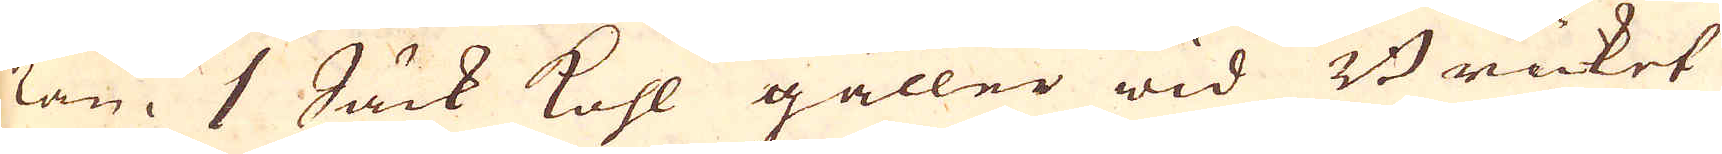kan. 1 Säck kohl gåller wid Bruket
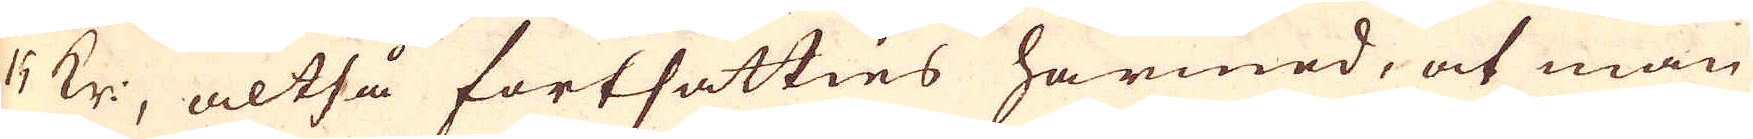25 Kr:, altså fortsätties harmed, at man
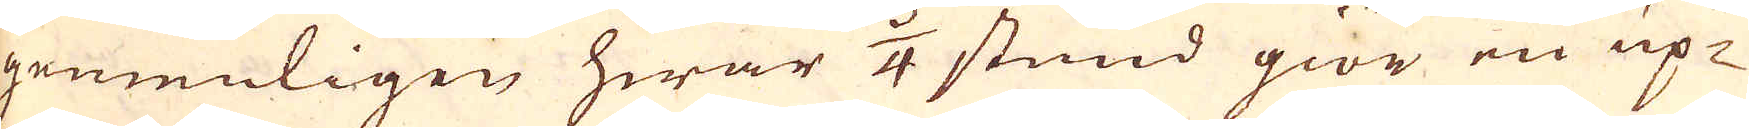gemenligen hwar 3/4 stund giör en up-
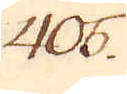405.
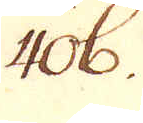406.
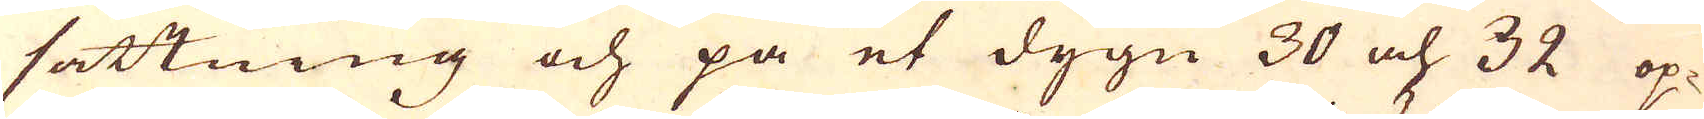sättning och på et dygn 30 och 32 op-
